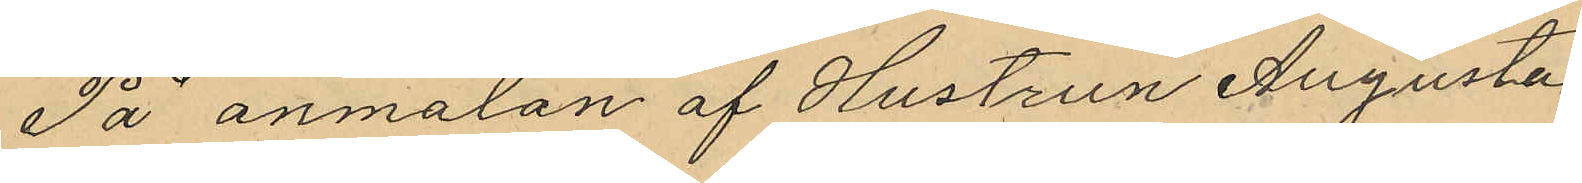På anmälan af Hustrun Augusta
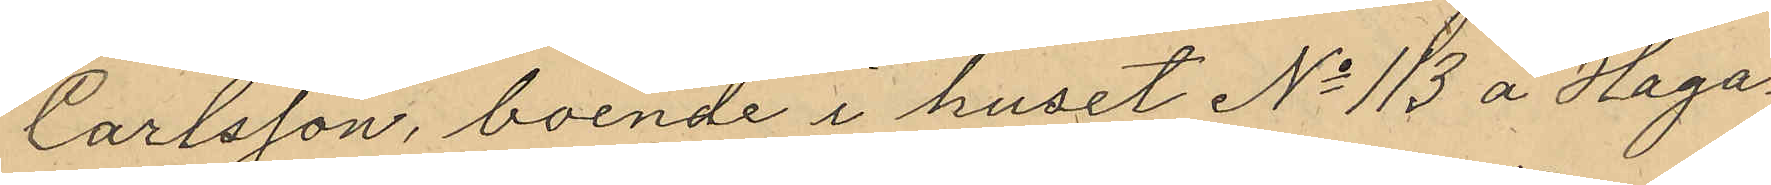Carlsson, boende i huset No 113 å Haga¬
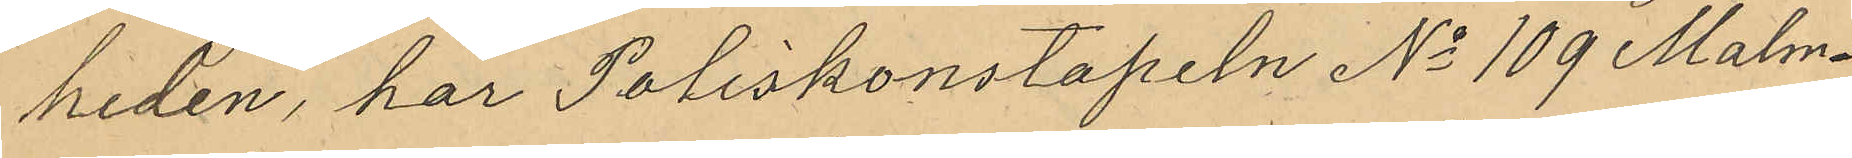heden, har Poliskonstapeln No 109 Malm¬
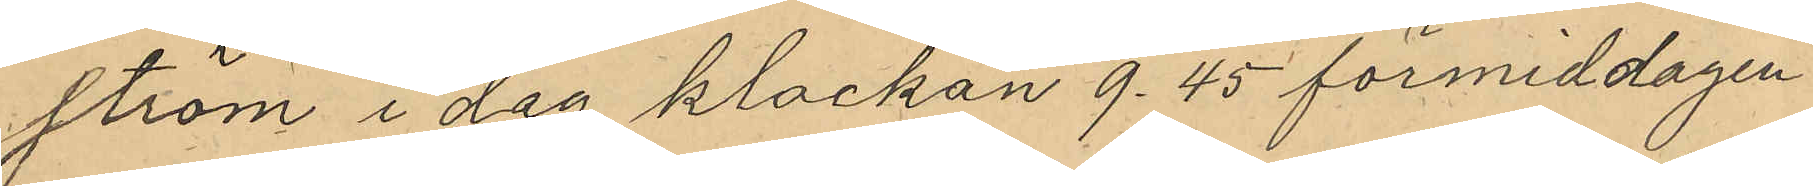ström i dag klockan 9.45 förmiddagen
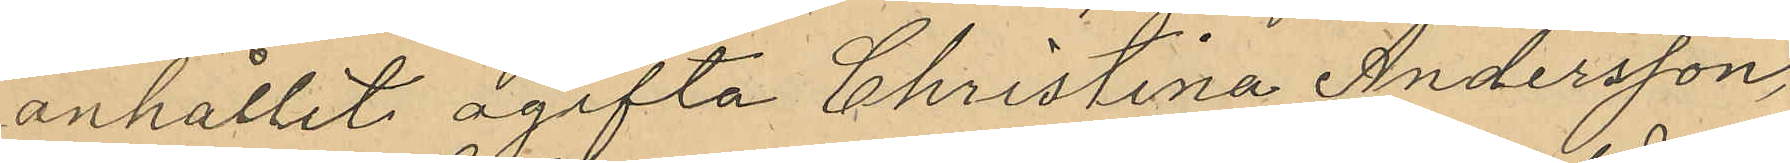anhållit ogifta Christina Andersson,
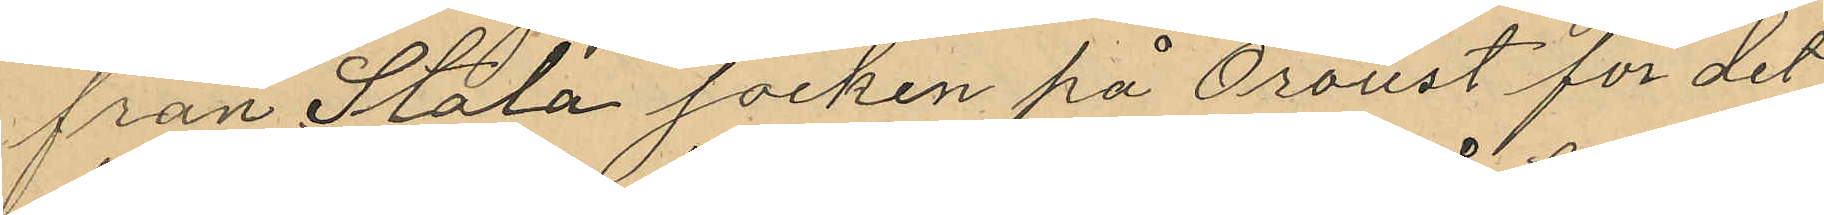från Stala socken på Orust för det
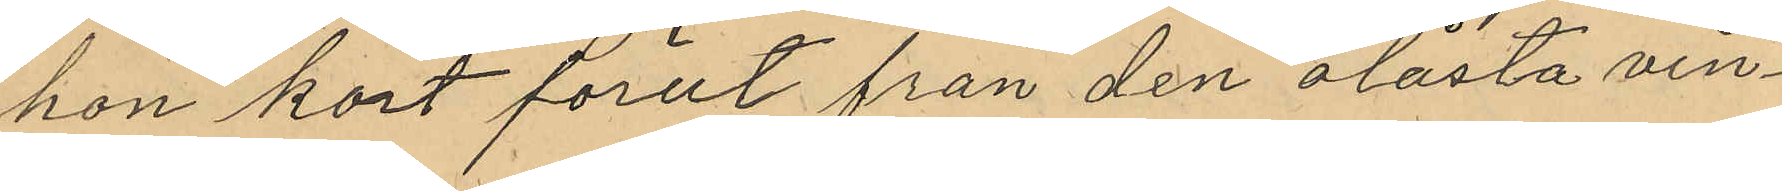hon kort förut från den olåsta vin¬
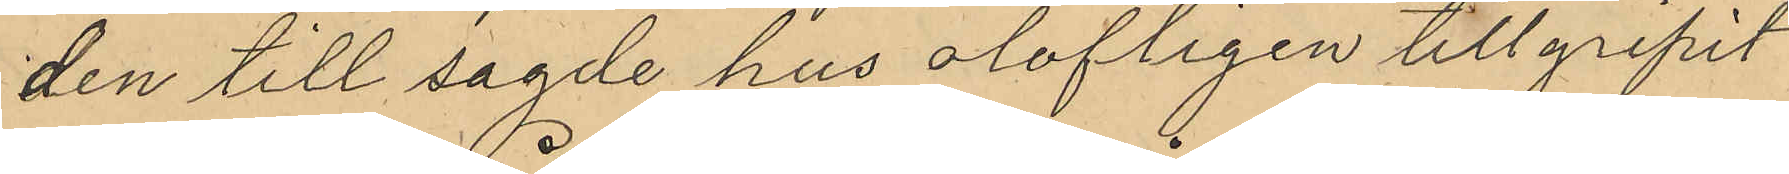den till sagde hus olofligen tillgripit
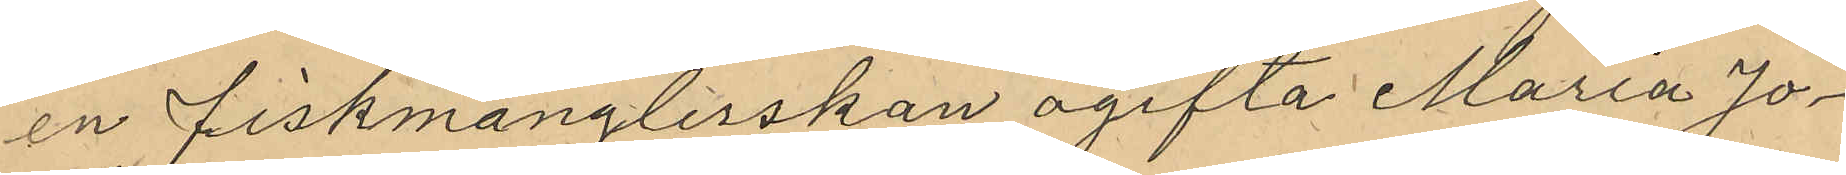en fiskmånglerskan ogifta Maria Jo¬
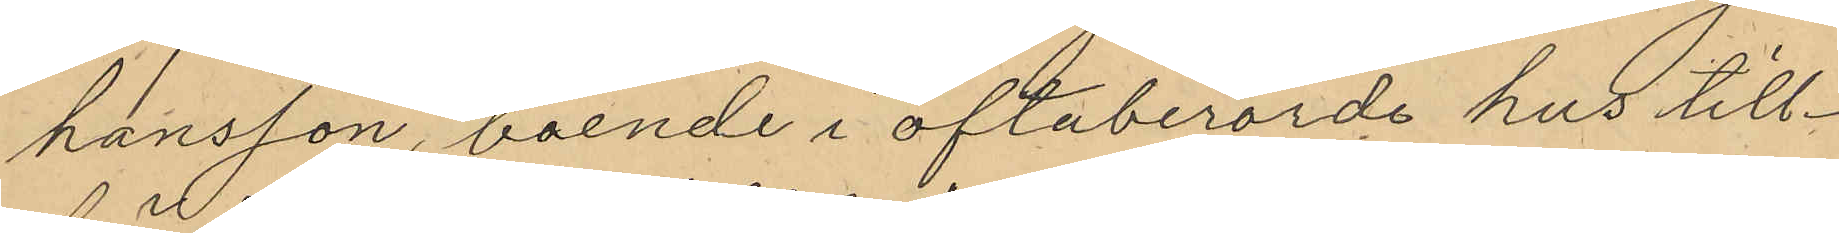hansson, boende i oftaberörde hus till¬
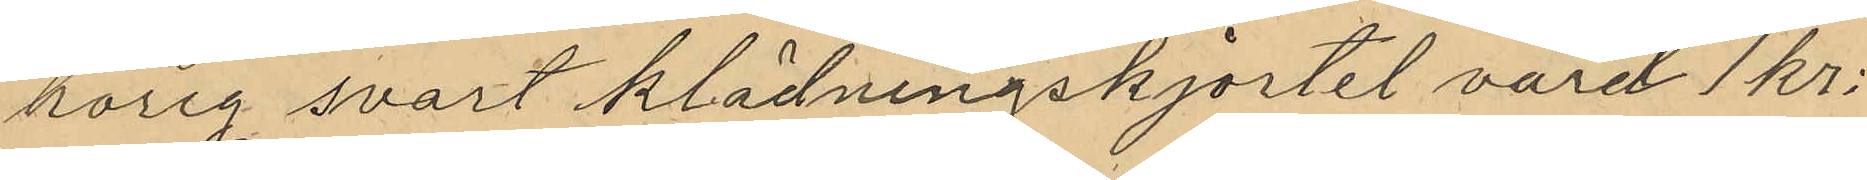hörig svart klädningskjortel värd 1 kr:
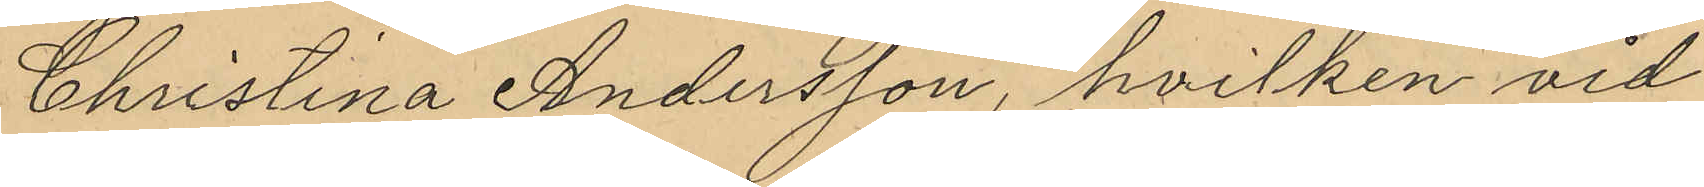Christina Andersson, hvilken vid
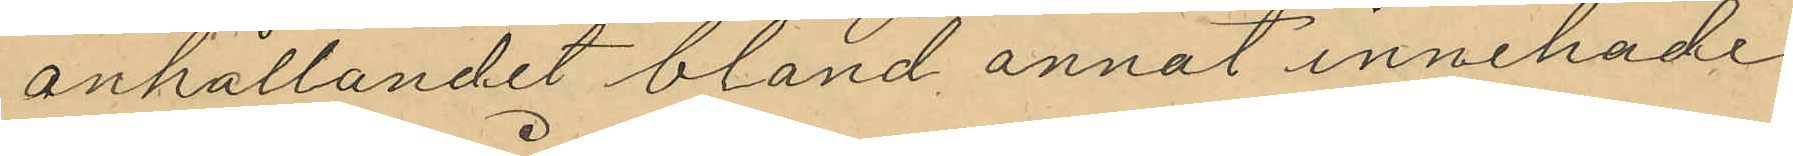anhållandet bland annat innehade
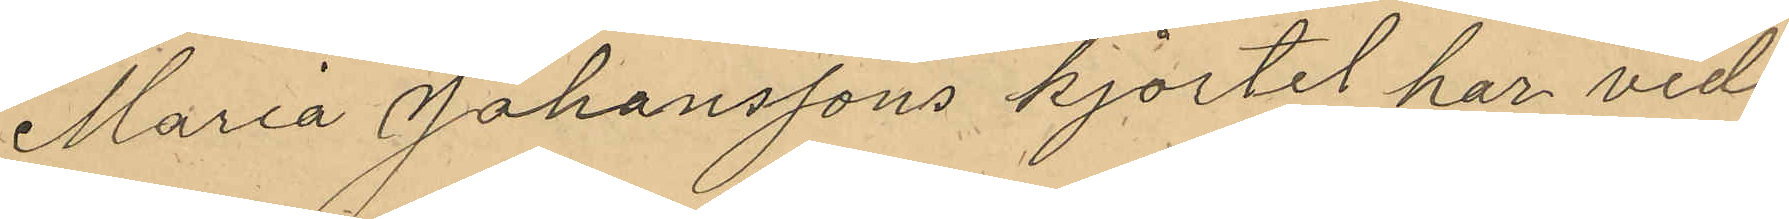Maria Johanssons kjortel har vid
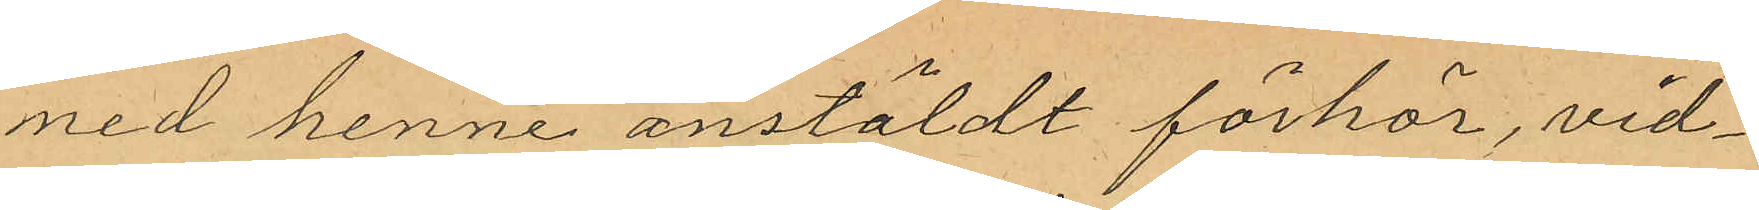med henne anstäldt förhör, vid¬
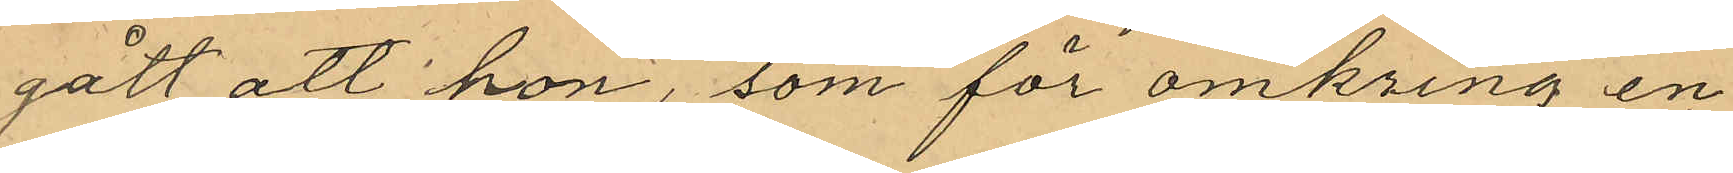gått att hon, som för omkring en
